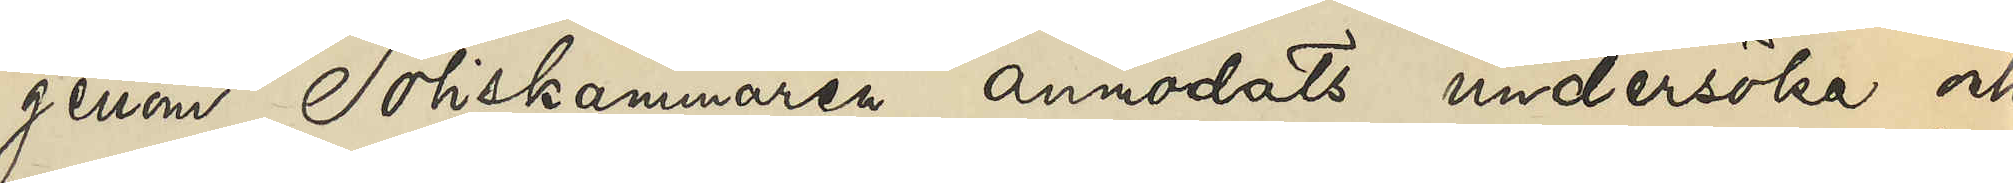genom Poliskammaren anmodats undersöka och
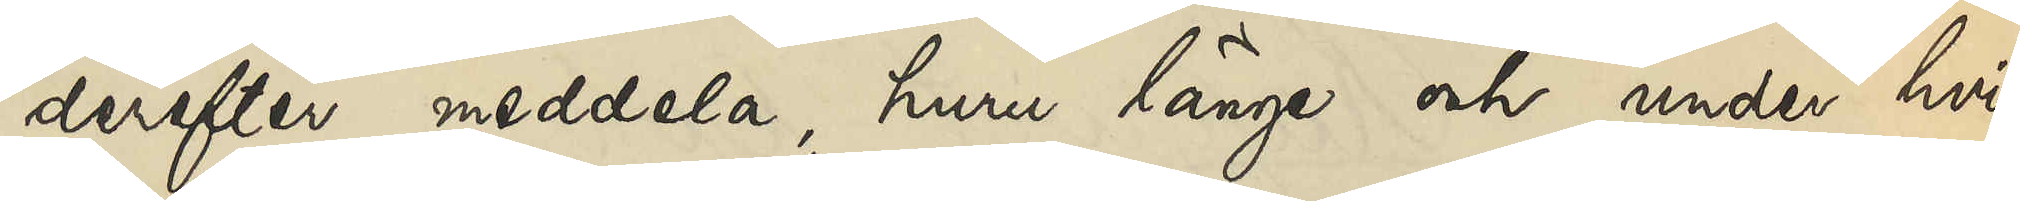derefter meddela, huru länge och under hvilka
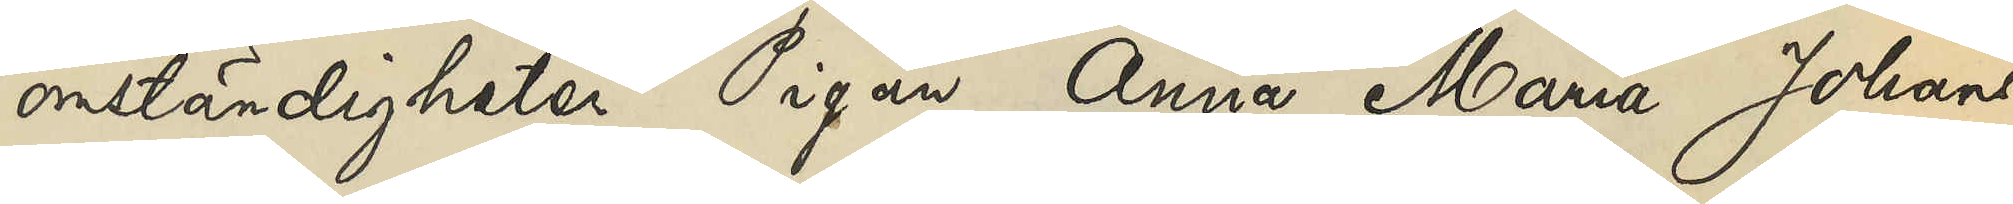omständigheter Pigan Anna Maria Johans¬
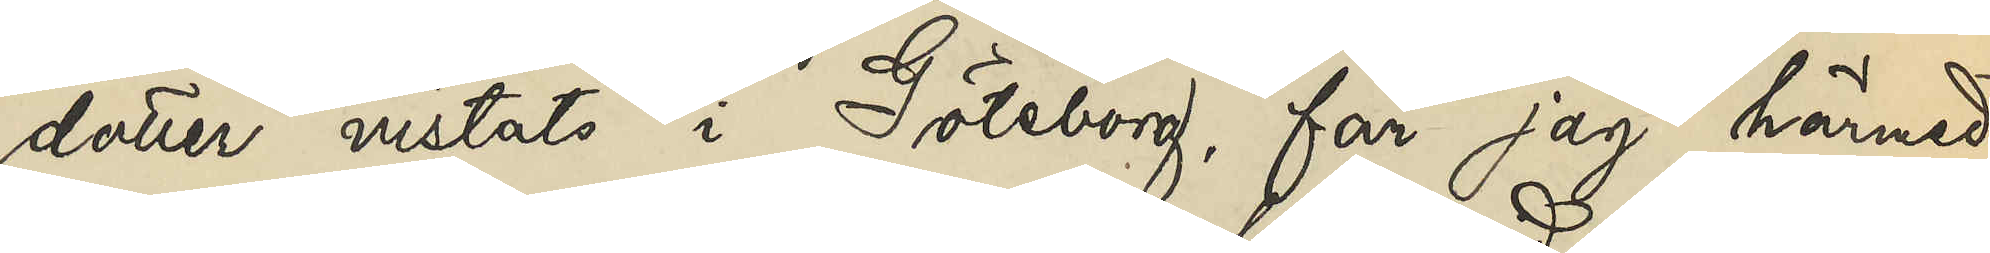dotter vistats i Göteborg, får jag härmed
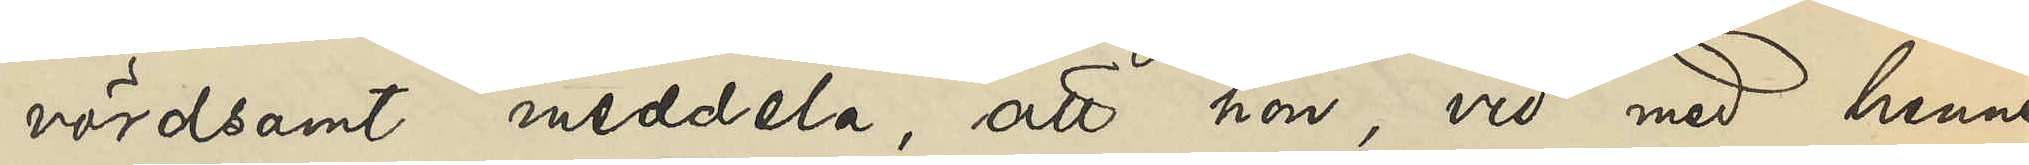vördsamt meddela, att hon, vid med henne
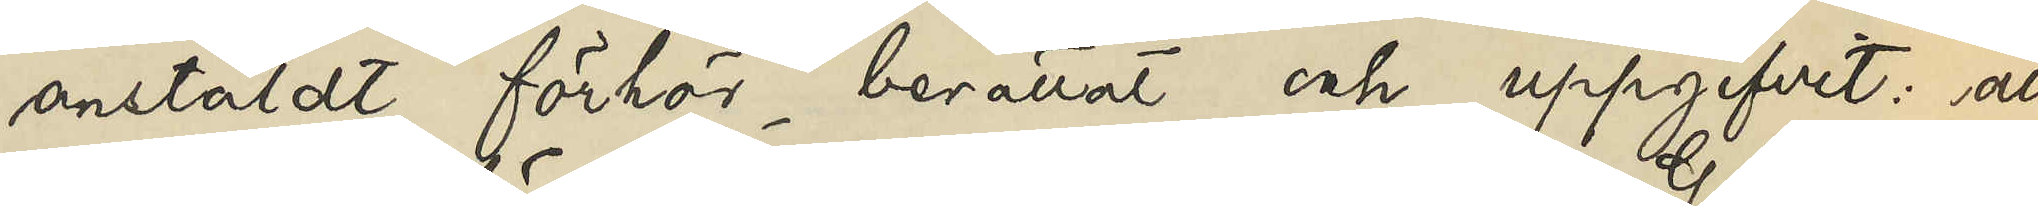anstäldt förhör berättat och uppgifvit: att
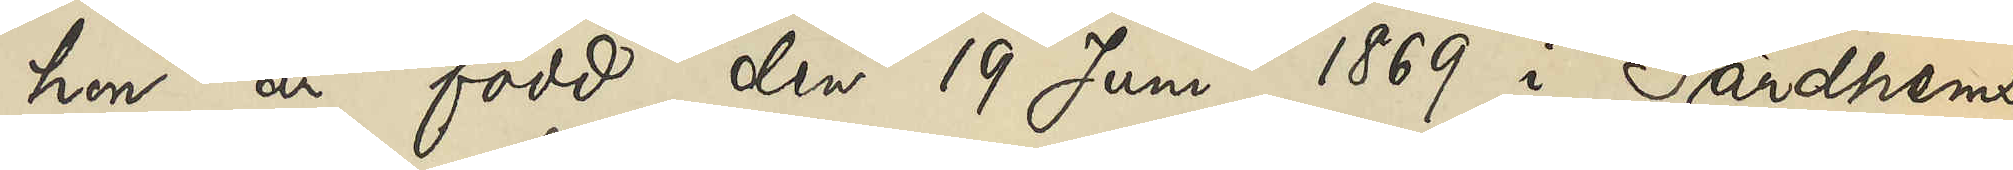hon är född den 19 Juni 1869 i Gärdhems
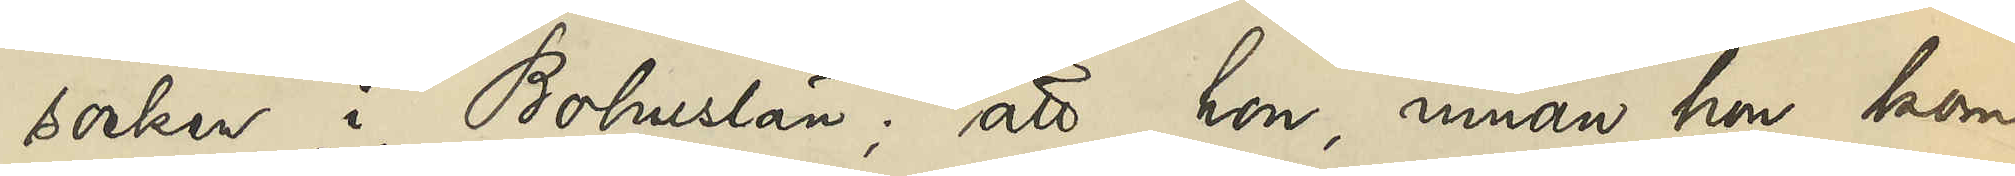socken i Bohuslän; att hon, innan hon kom
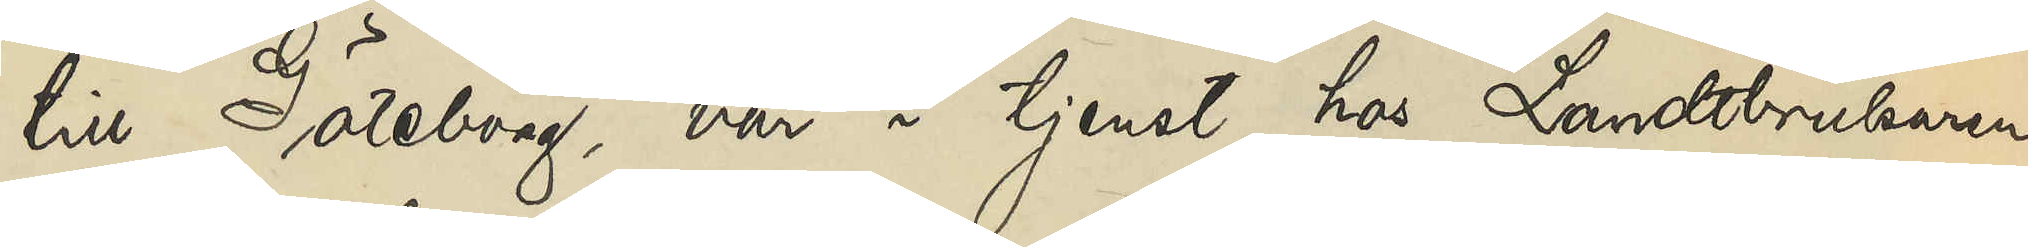till Göteborg, var i tjenst hos Landtbrukaren
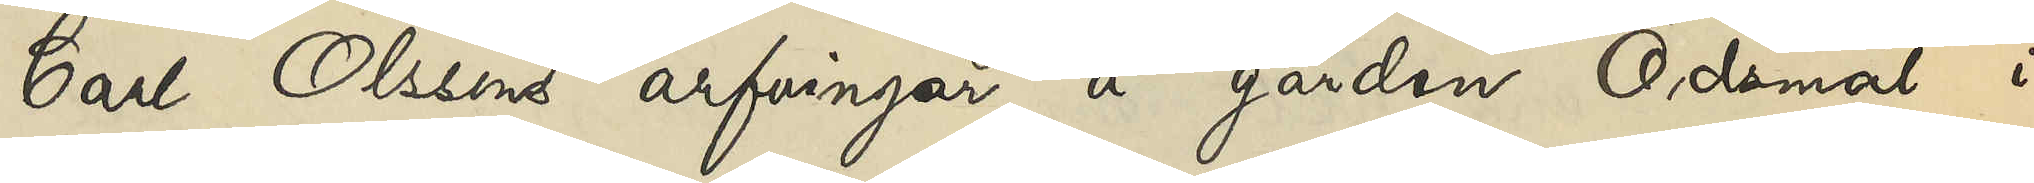Carl Olsons arfvingar å gården Ödsmål i
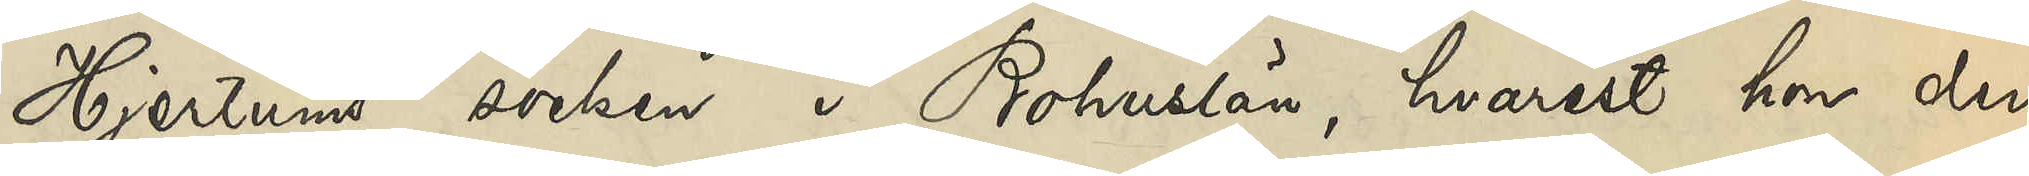Hjertums socken i Bohuslän, hvarest hon den
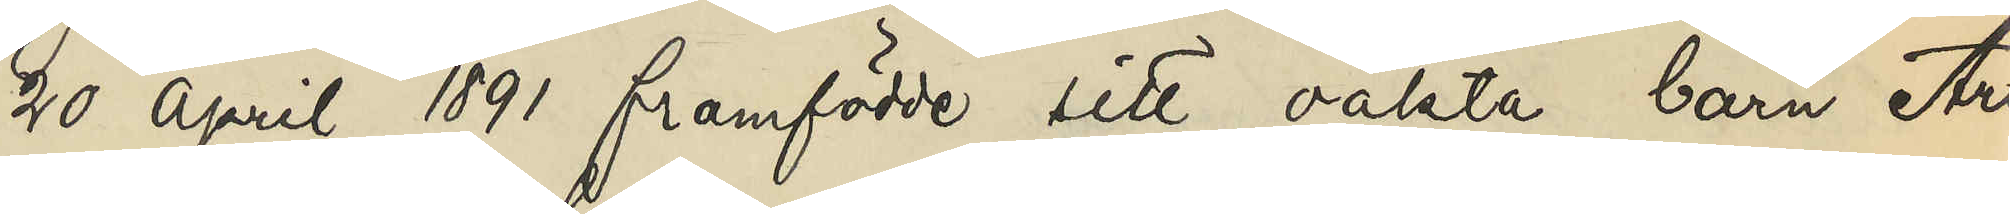20 April 1891 framfödde sitt oäkta barn Artur
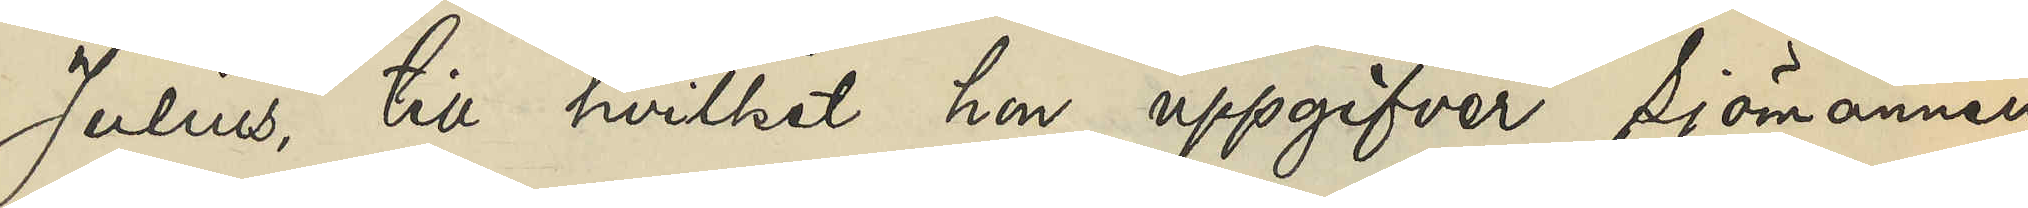Julius, till hvilket hon uppgifver sjömannen
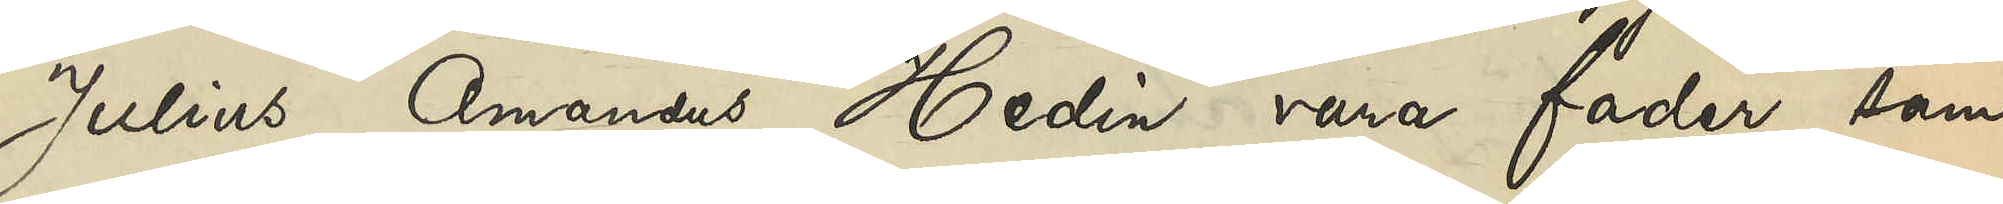Julius Amandus Hedin vara fader samt
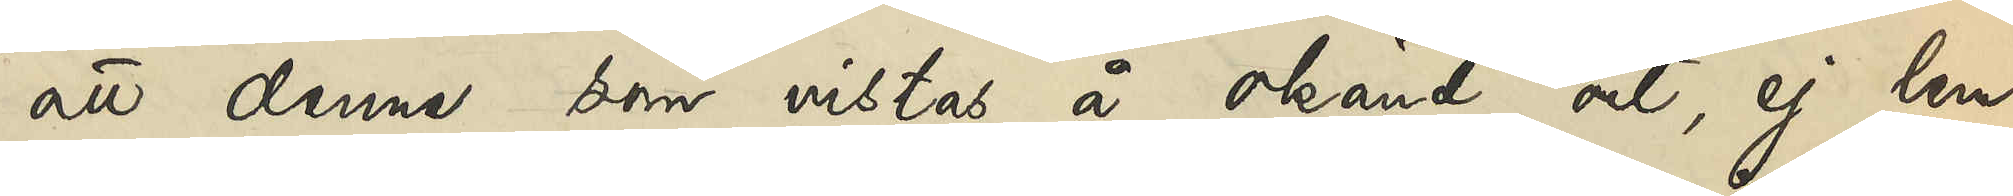att denne, som vistas å okänd ort, ej lem¬
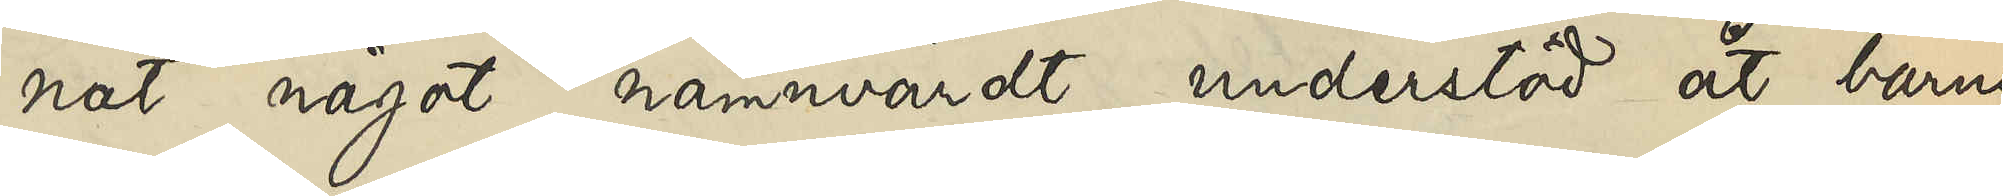nat något nämnvärdt understöd åt barnet
